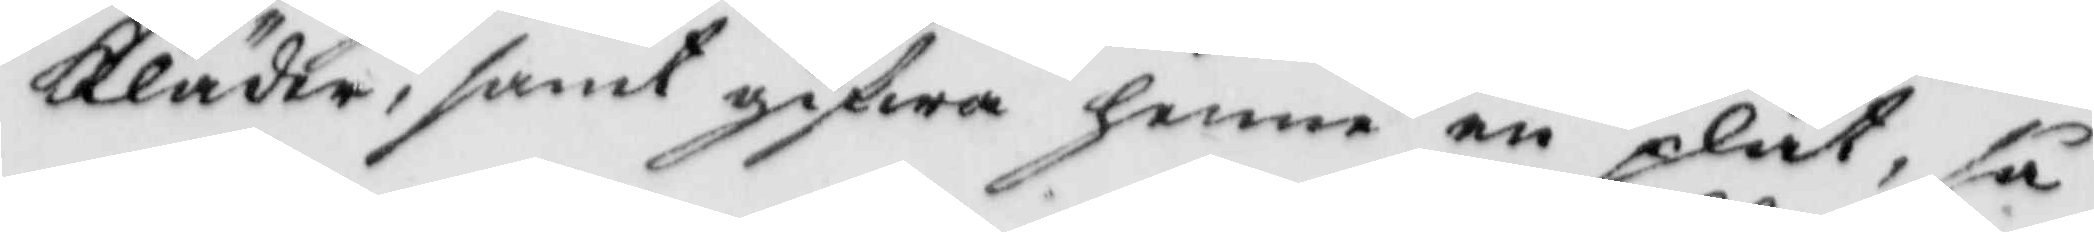Kläder, samt gifwa henne en plåt, så
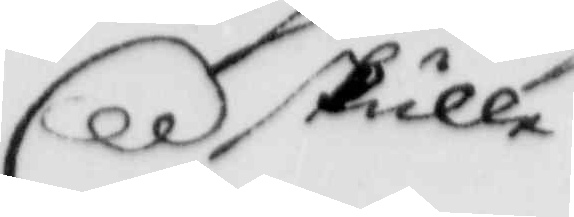skulle
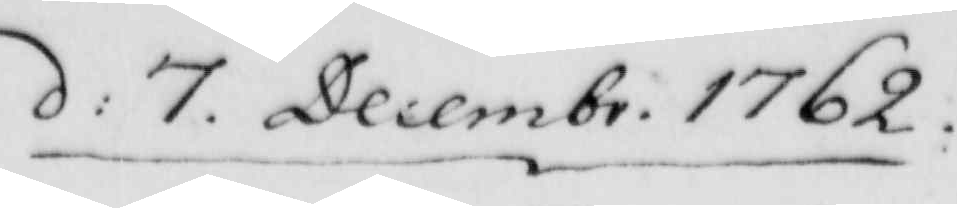d: 7 Decembr. 1762.
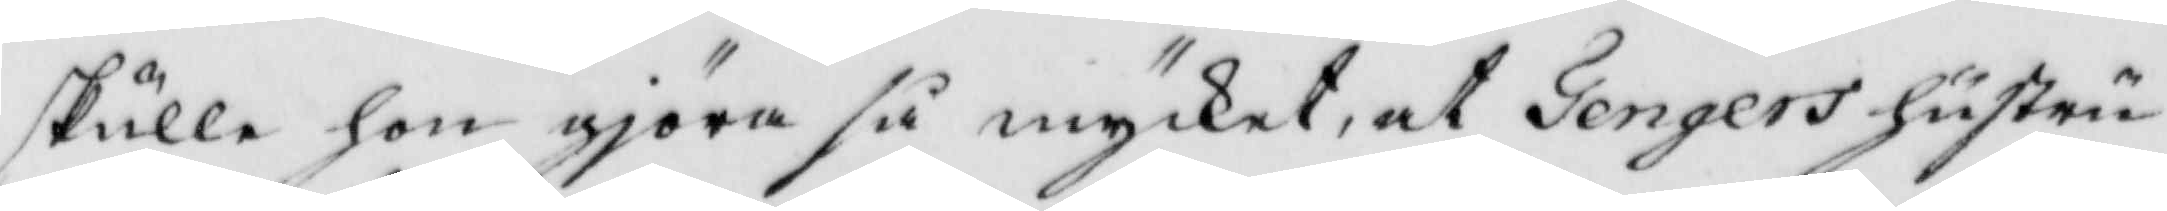skulle hon gjöra så mycket, at Tengers hustru
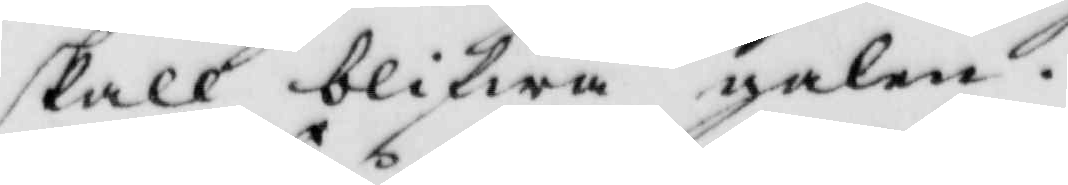skall blifwa galen.
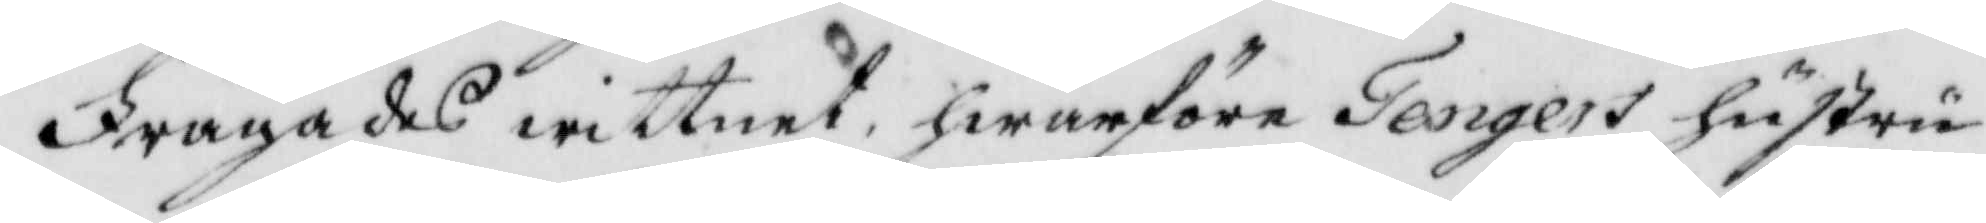Frågades wittnet, hwarföre Tengers hustru
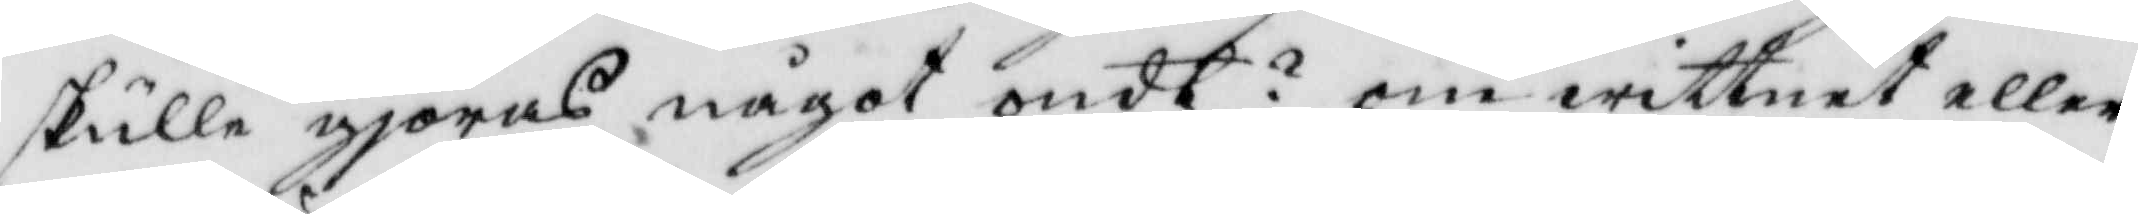skulle gjöras något ondt? om wittnet eller
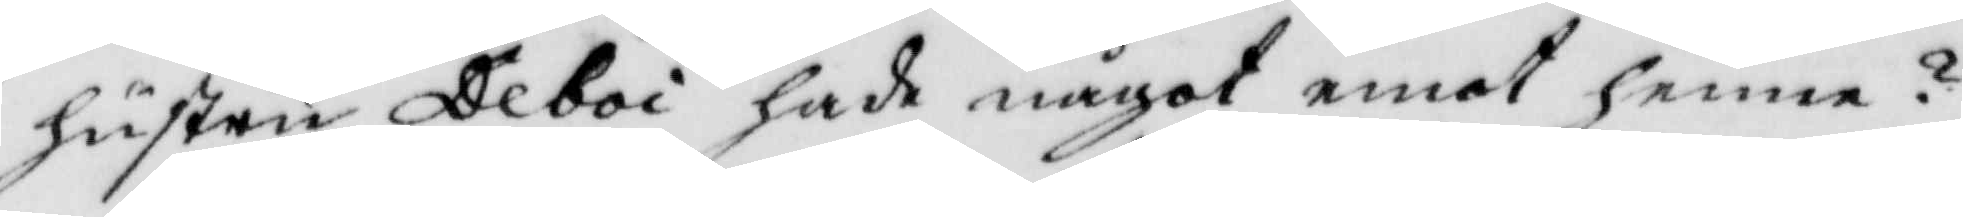hustru Deboi hade något emot henne?
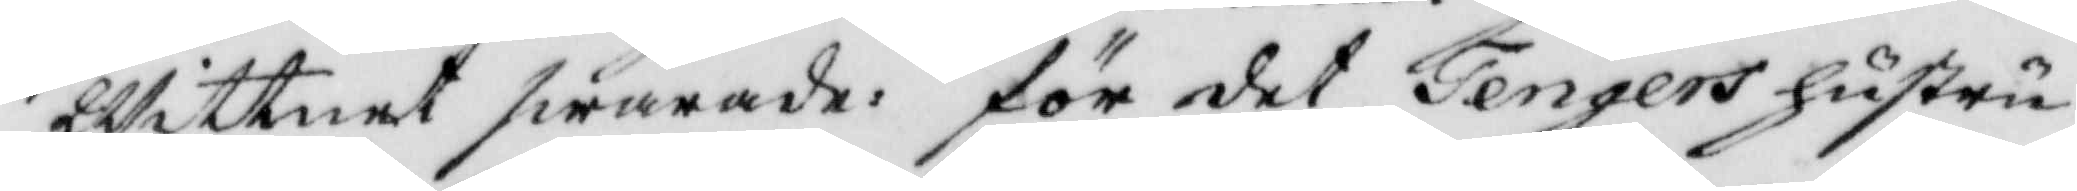Wittnet swarade: för det Tengers hustru
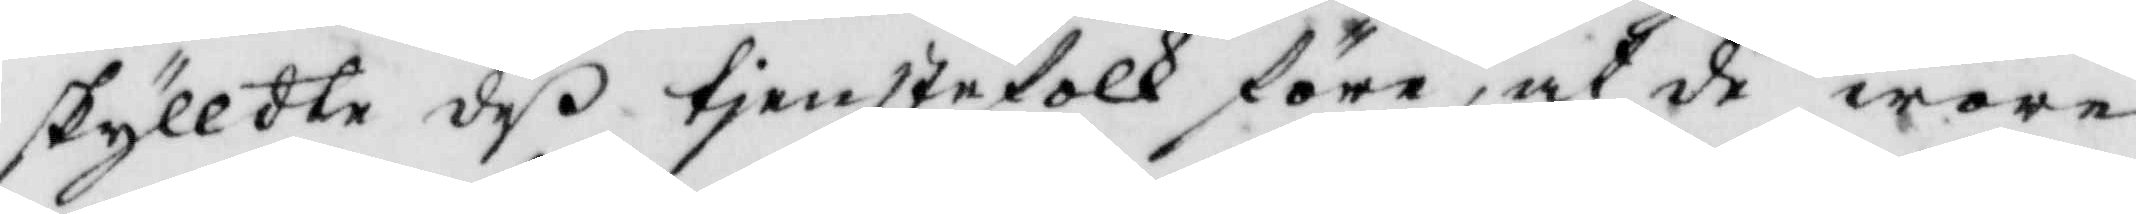skylldte de tjenstefolk före, at de woro
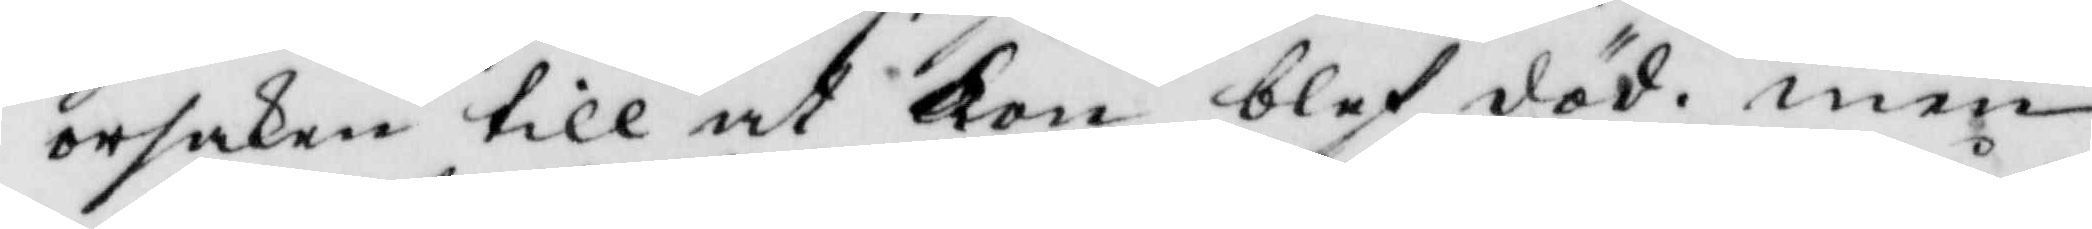orsaken till at Kon blef död. men
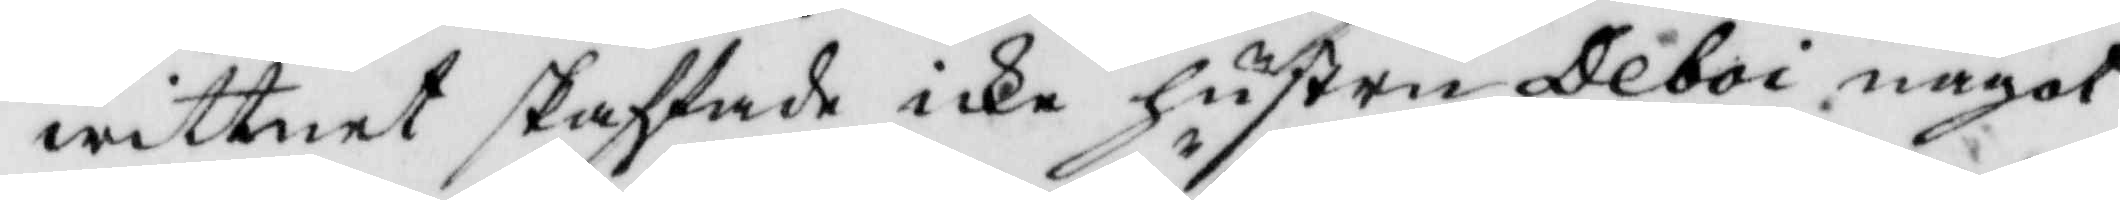wittnet skaffade icke hustru Deboi något
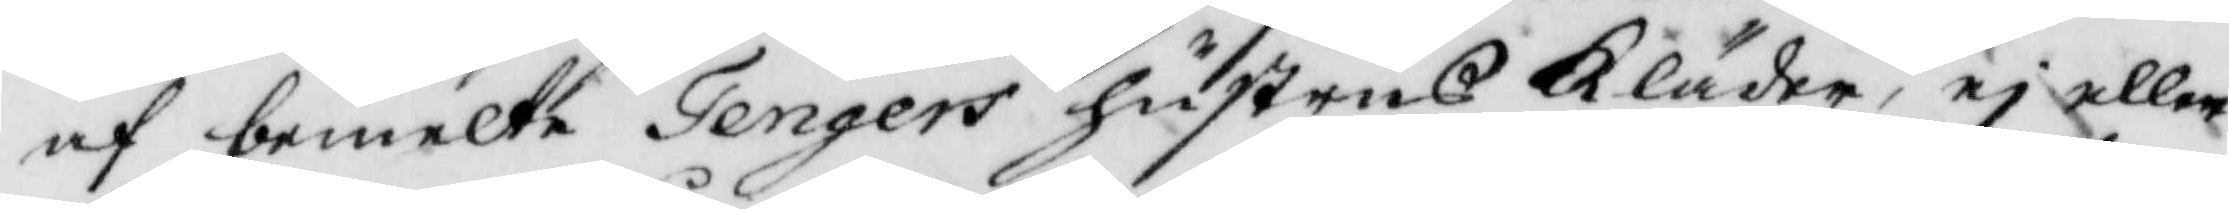af bemelte Tengers hustrus Kläder, ej eller
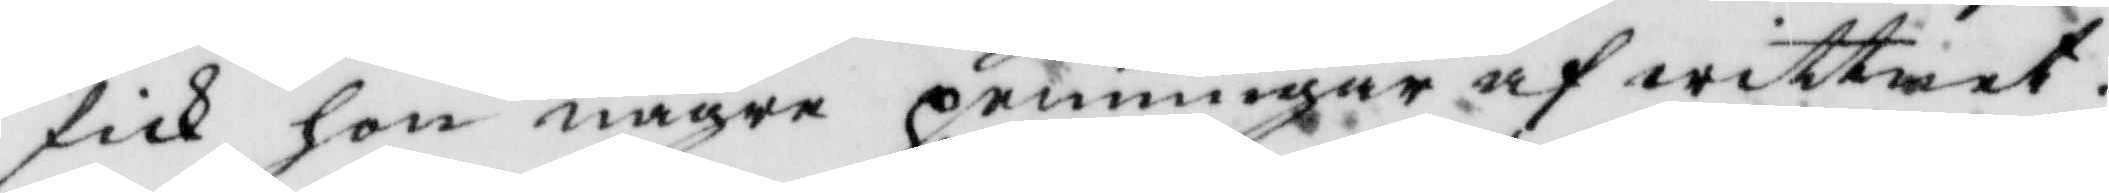fick hon några penningar af wittnet.
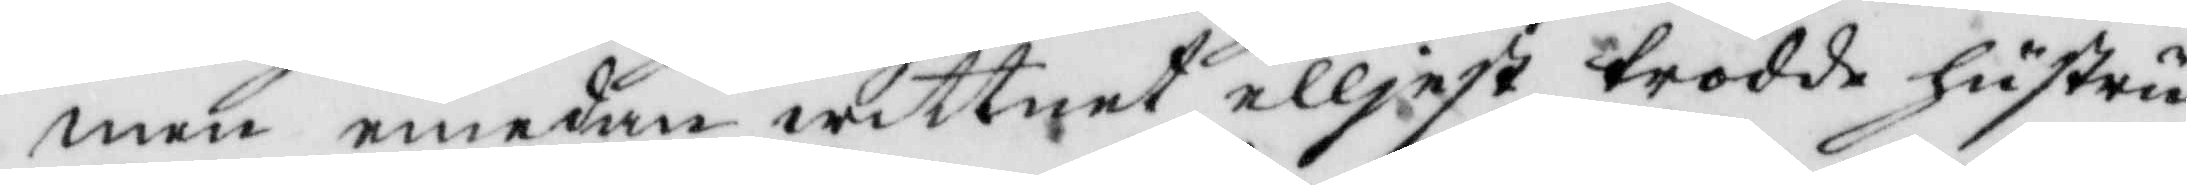men emedan wittnet elljest trodde hustru
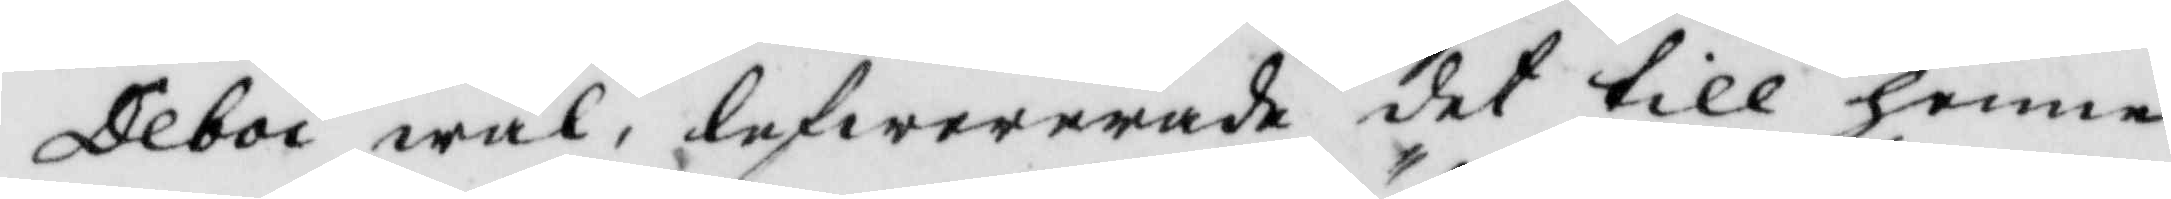Deboi wäl, lefwererade det till henne
